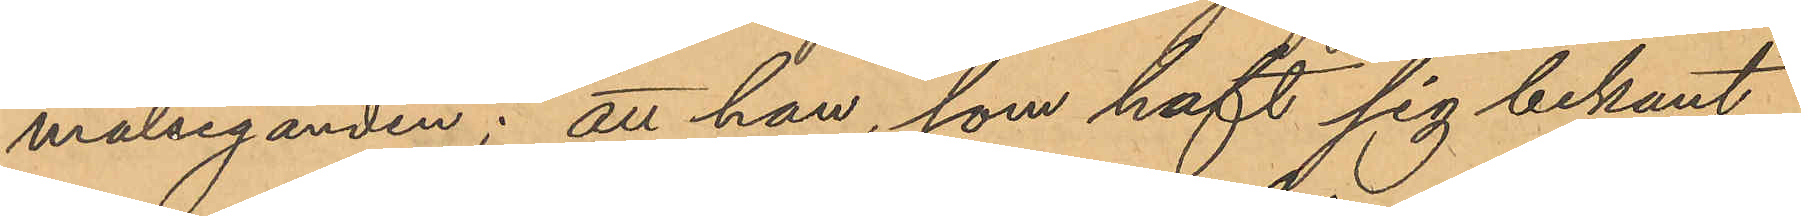målseganden; att han, som haft sig bekant
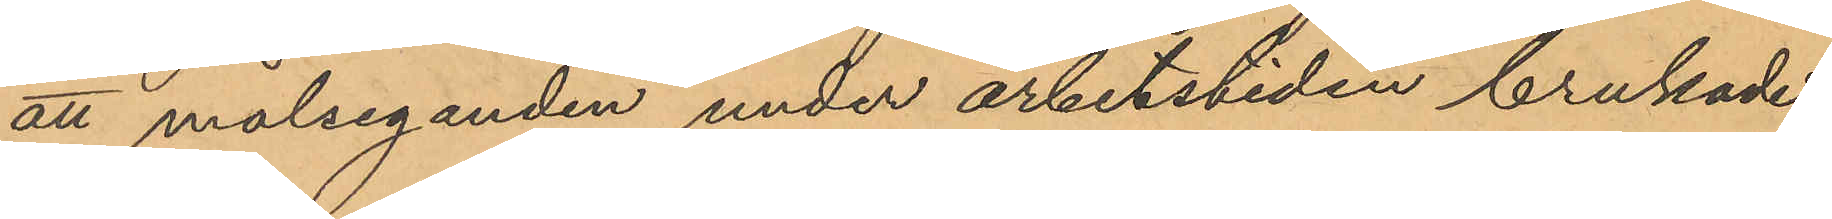att målseganden under arbetstiden brukade
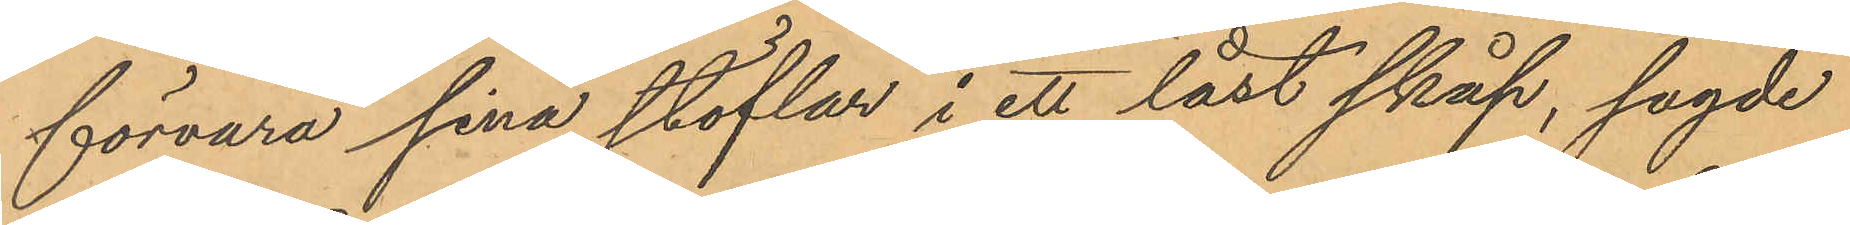förvara sina stöflar i ett låst skåp, sagde
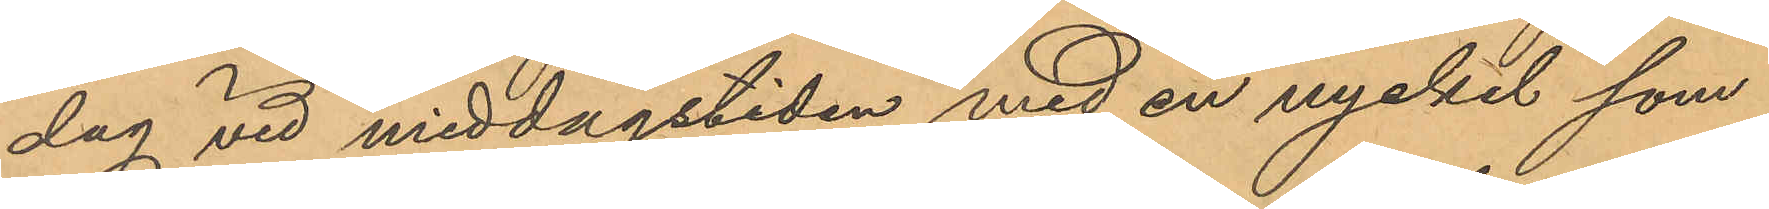dag vid middagstiden med en nyckel som
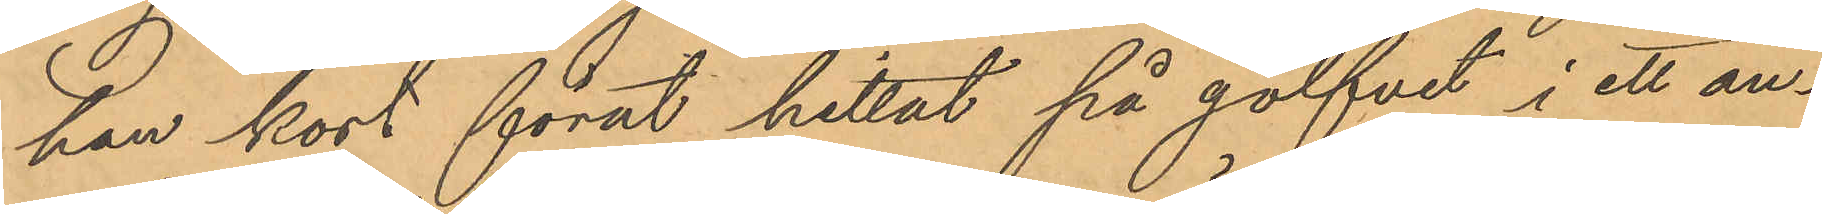han kort förut hittat på golfvet i ett an¬
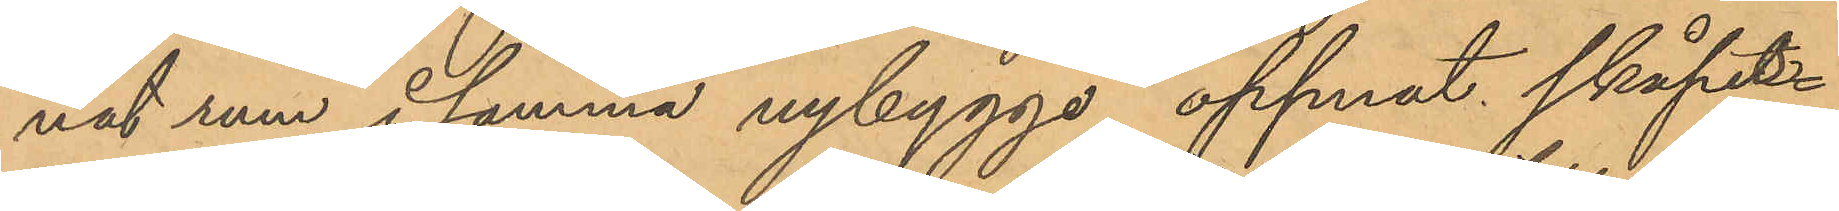nat rum i samma nybygge öppnat skåps¬
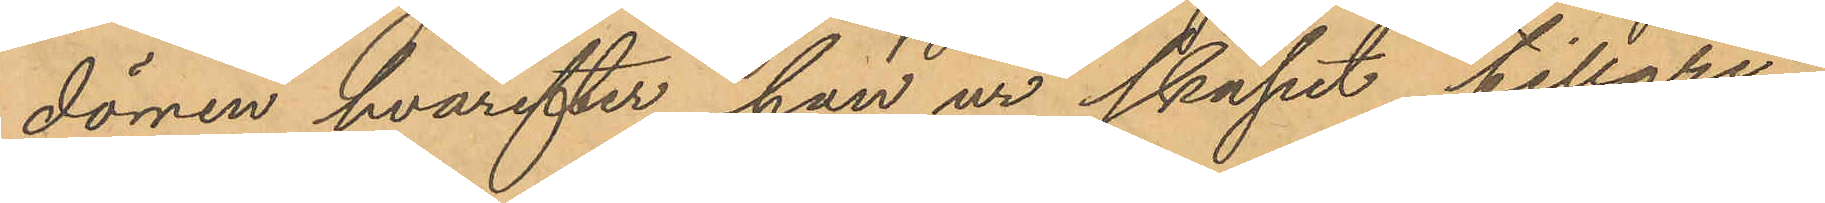dörren hvarefter han ur skåpet tillgri¬
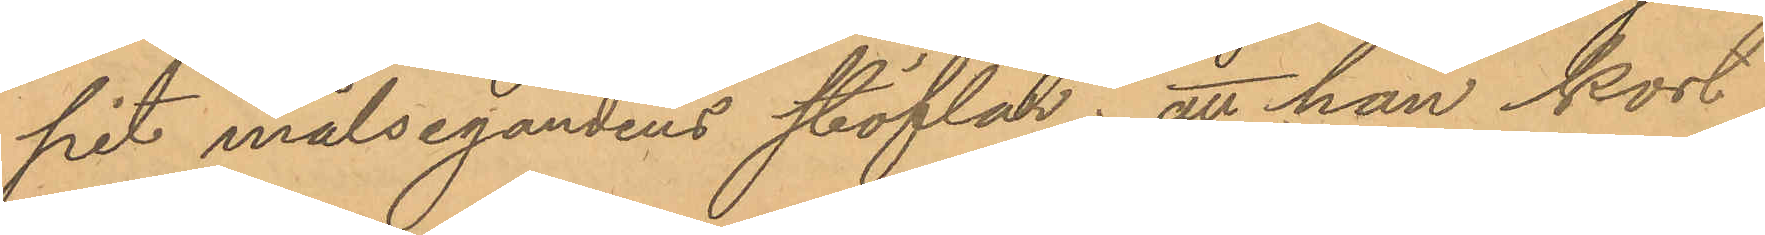pit målsegandens stöflar; att han kort
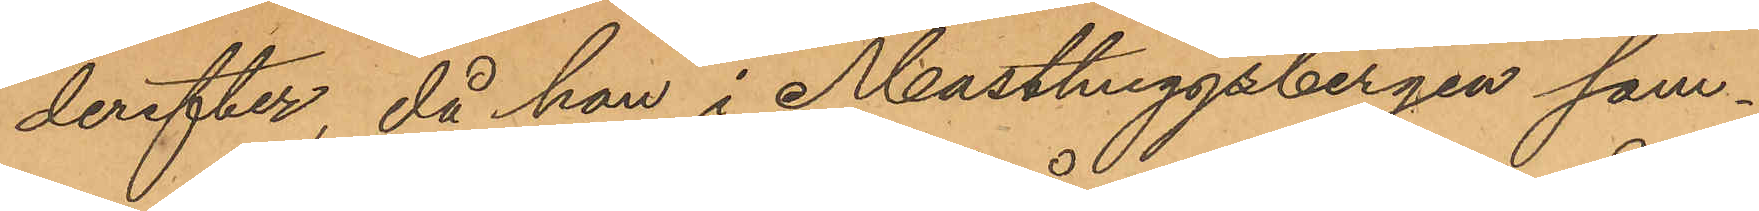derefter, då han i Masthuggsbergen sam¬
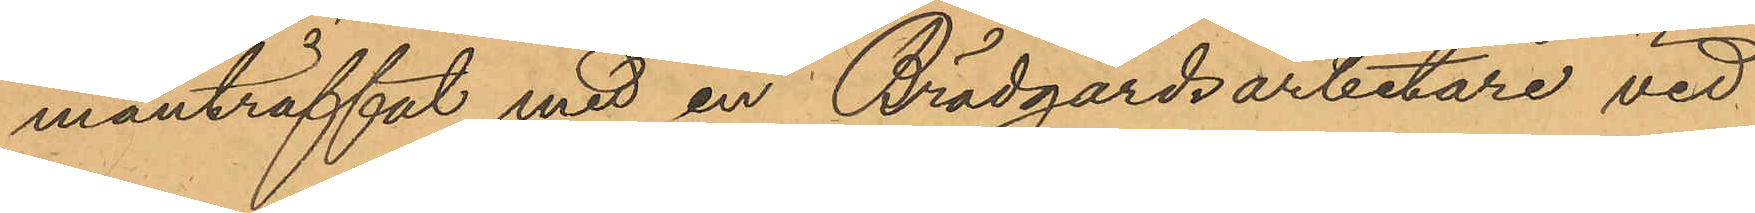manträffat med en Brädgårdsarbetare vid
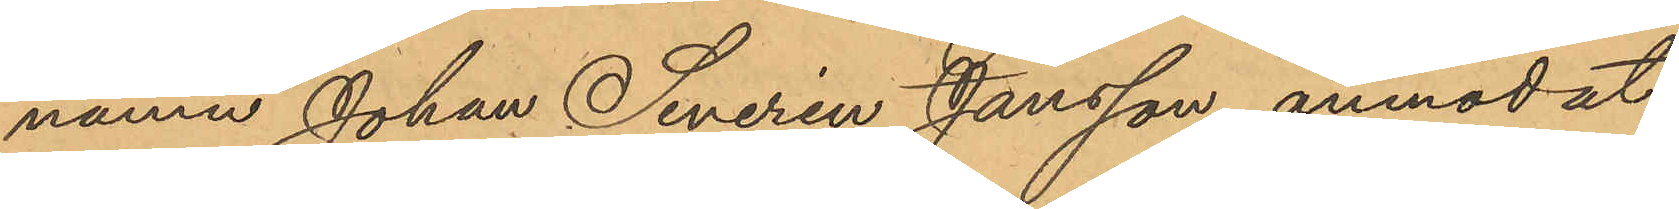namn Johan Severin Jansson, anmodat
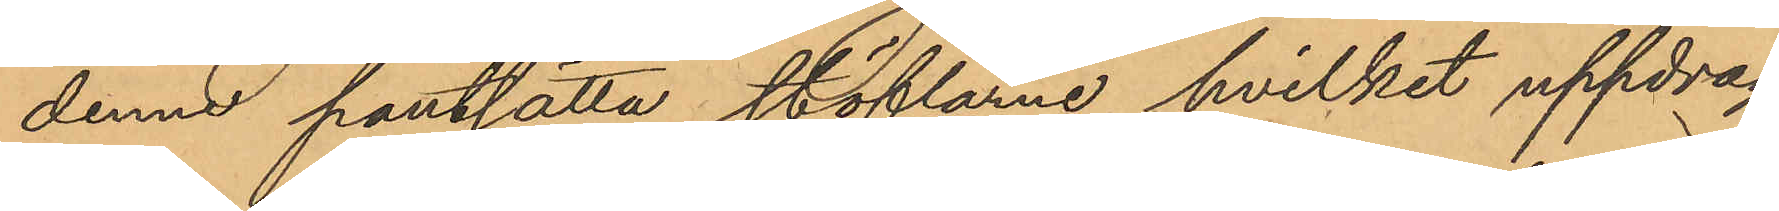denne pantsätta stöflarne, hvilket uppdrag
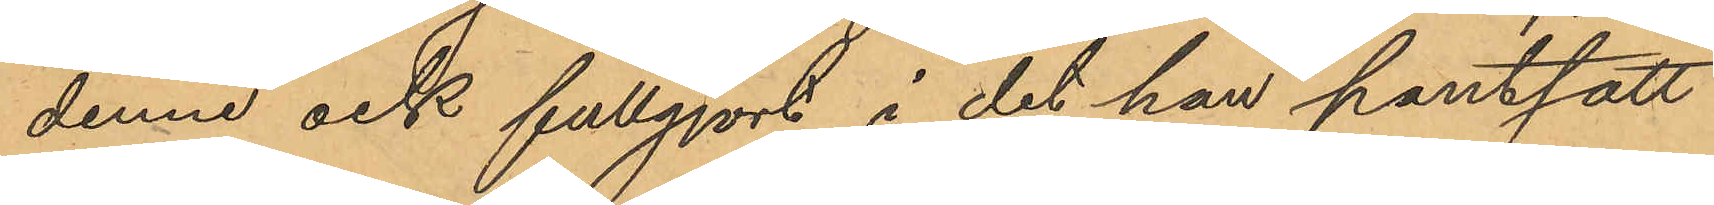denne ock fullgjort i det han pantsatt
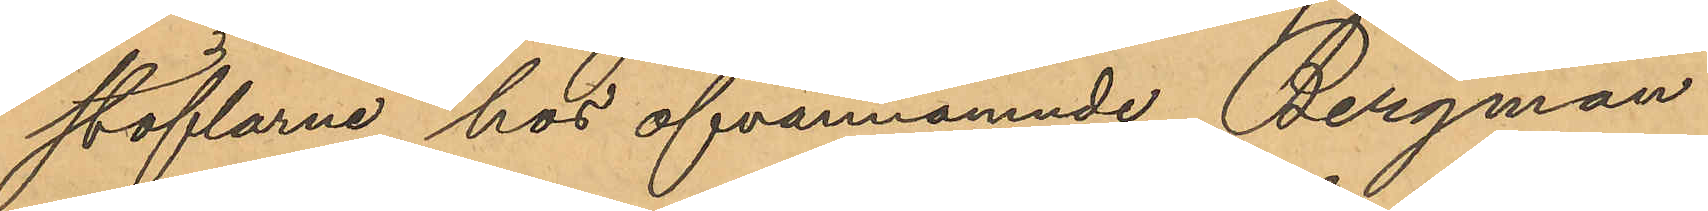stöflarne hos ofvannämnde Bergman
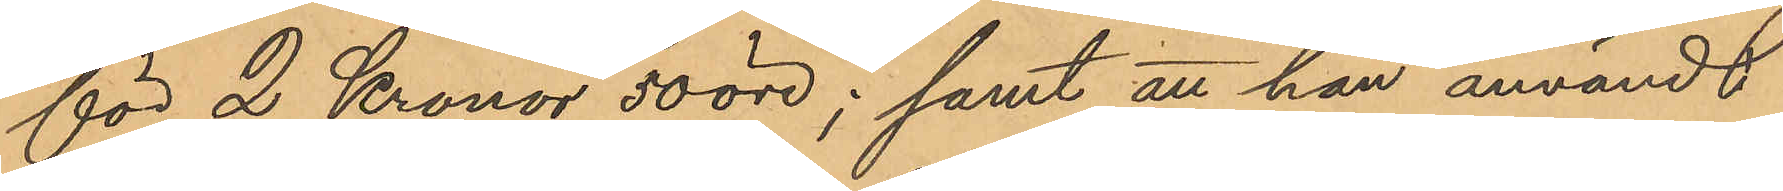för 2 Kronor 50 öre; samt att han användt
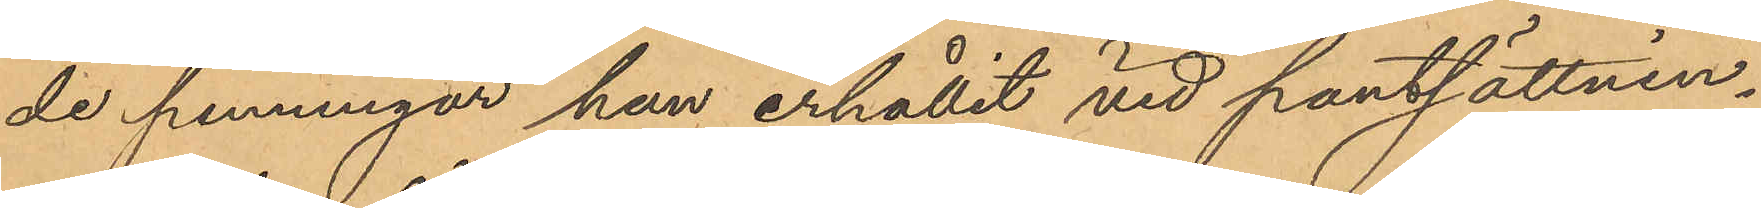de penningar han erhållit vid pantsättnin¬
